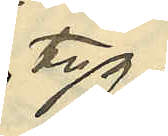tyg,
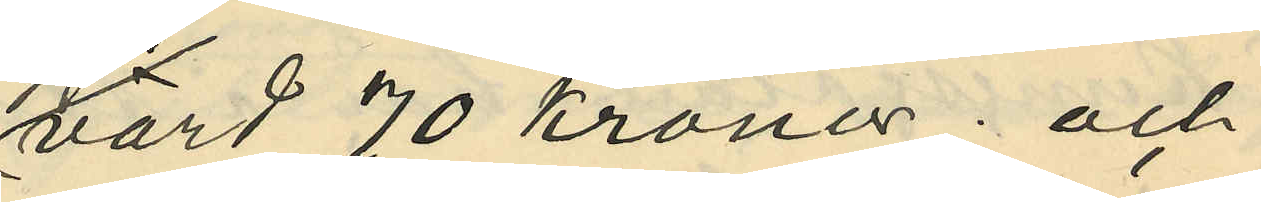värd 70 kronor; och
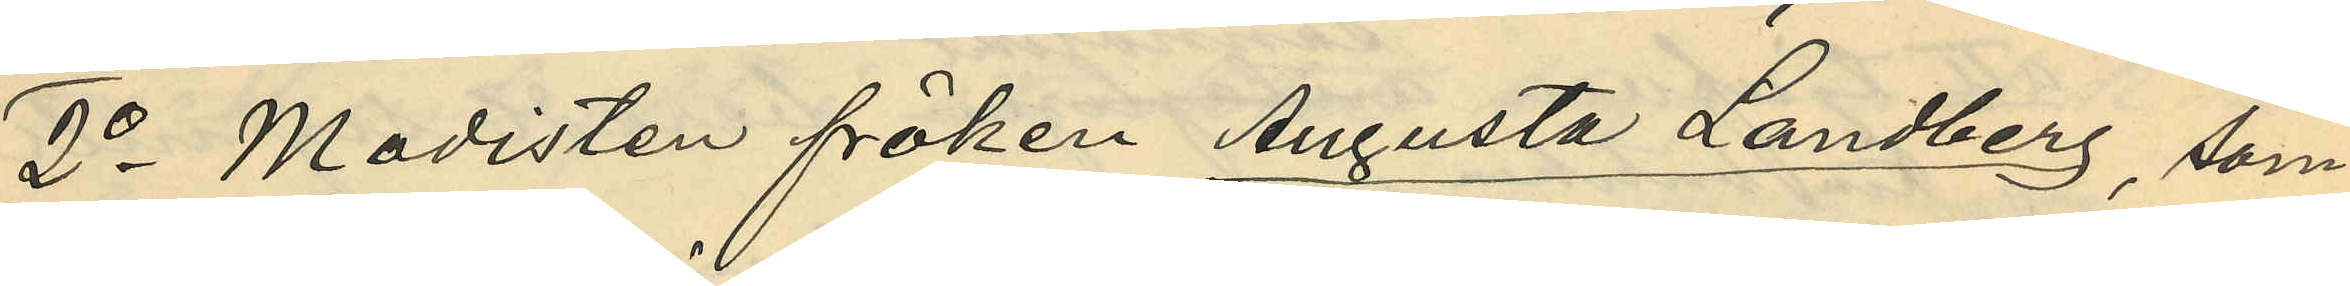2o Modisten fröken Augusta Landberg, som
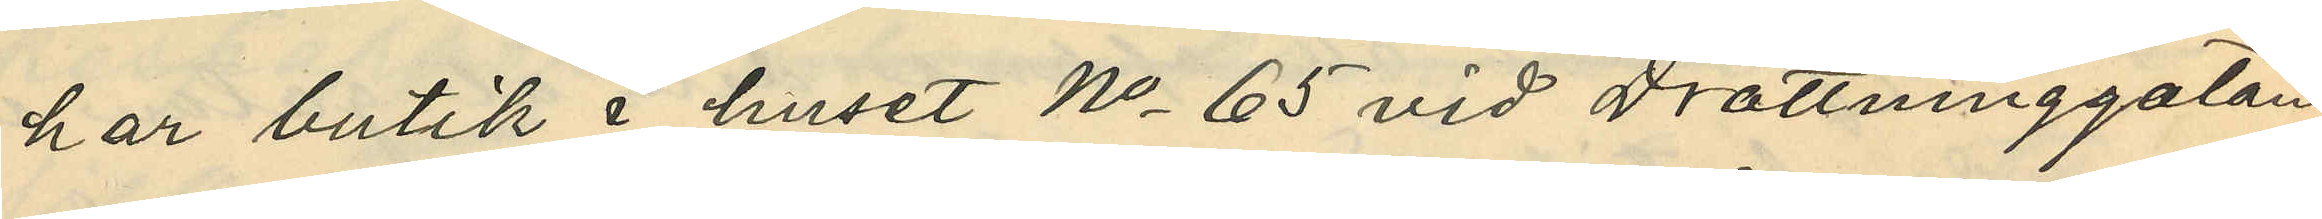har butik i huset No 65 vid Drottninggatan,
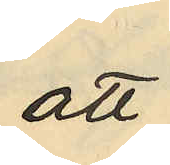att
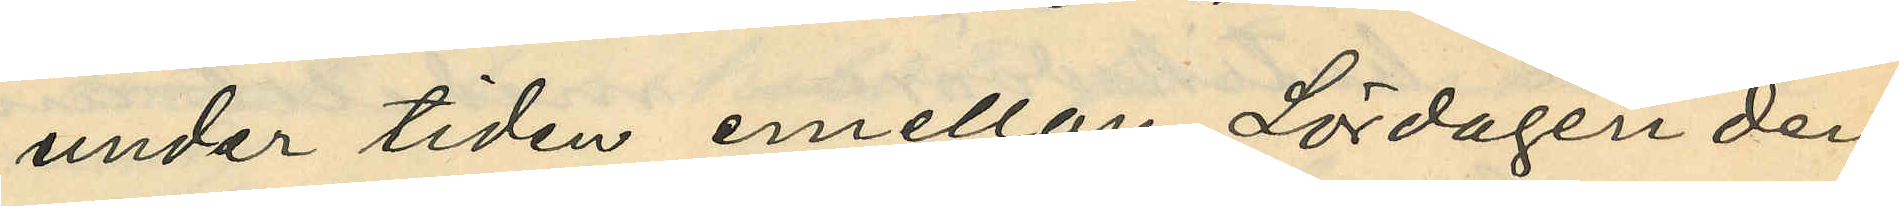under tiden emellan Lördagen den
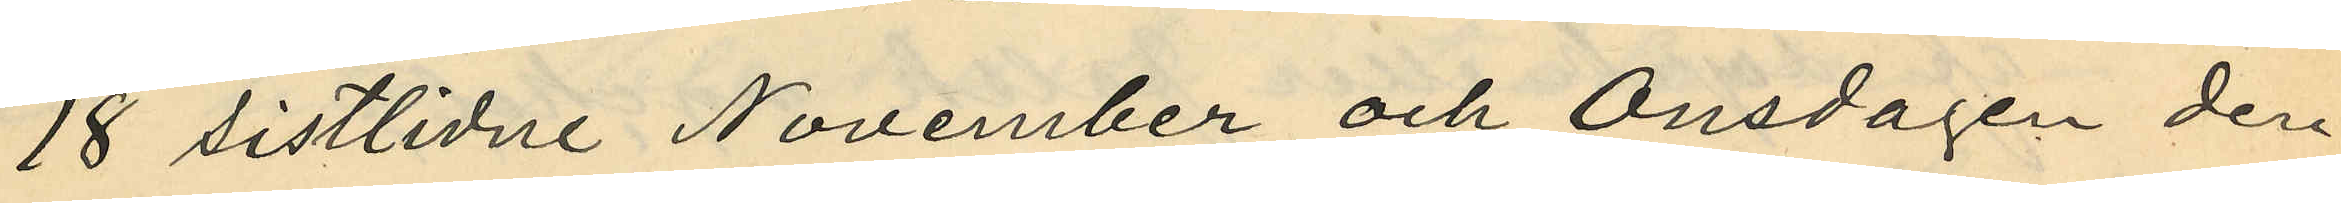18 sistlidne November och Onsdagen den
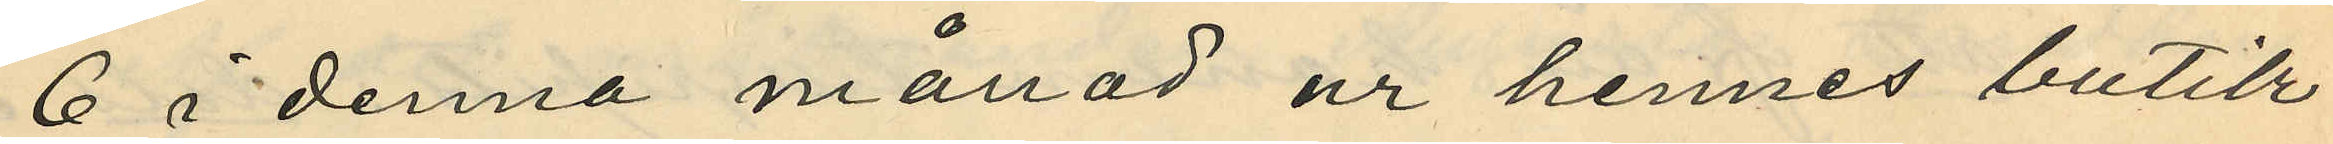6 i denna månad ur hennes butik
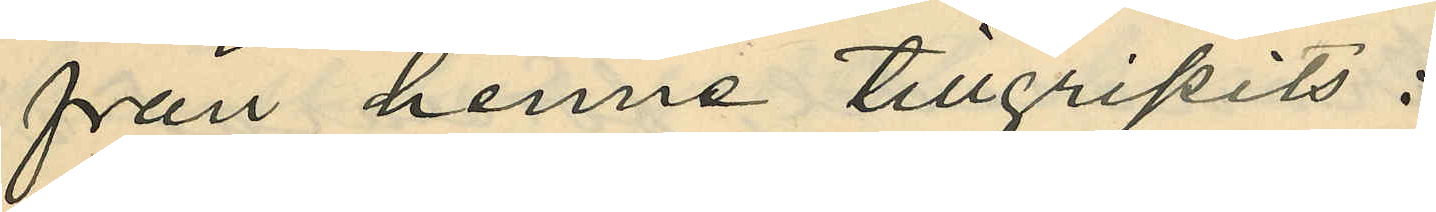från henne tillgripits:
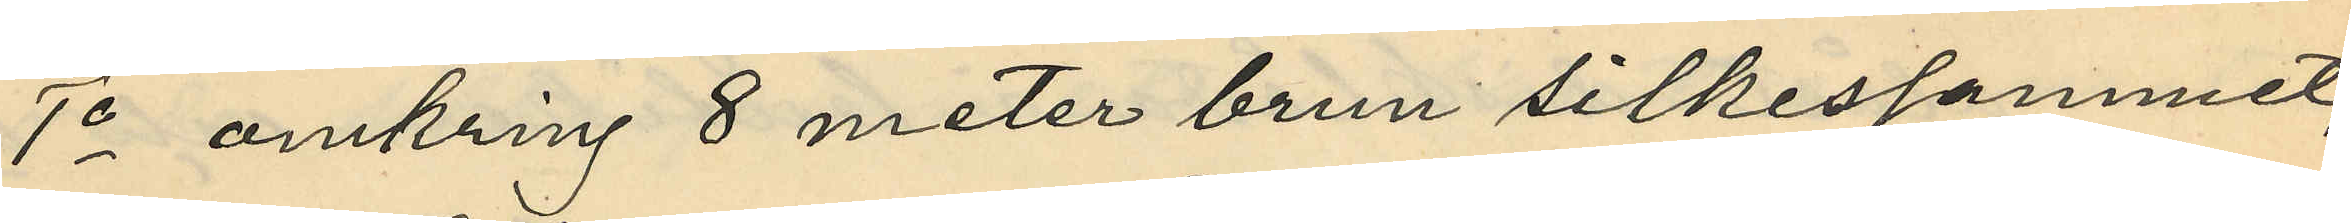1o omkring 8 meter brun silkessammet,
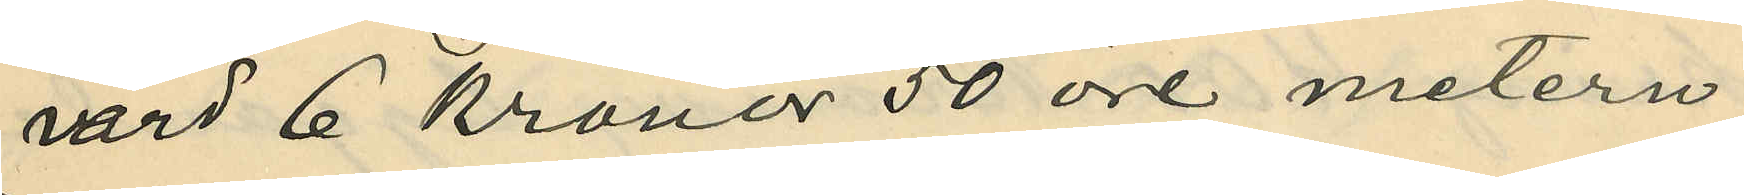värd 6 kronor 50 öre metern,
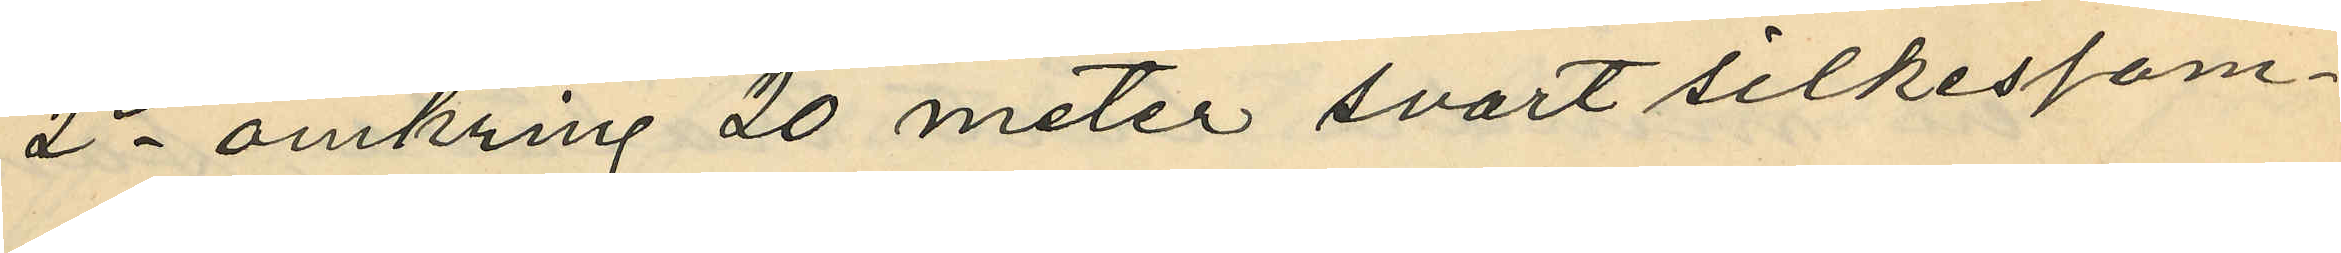2o omkring 20 meter svart silkessam¬
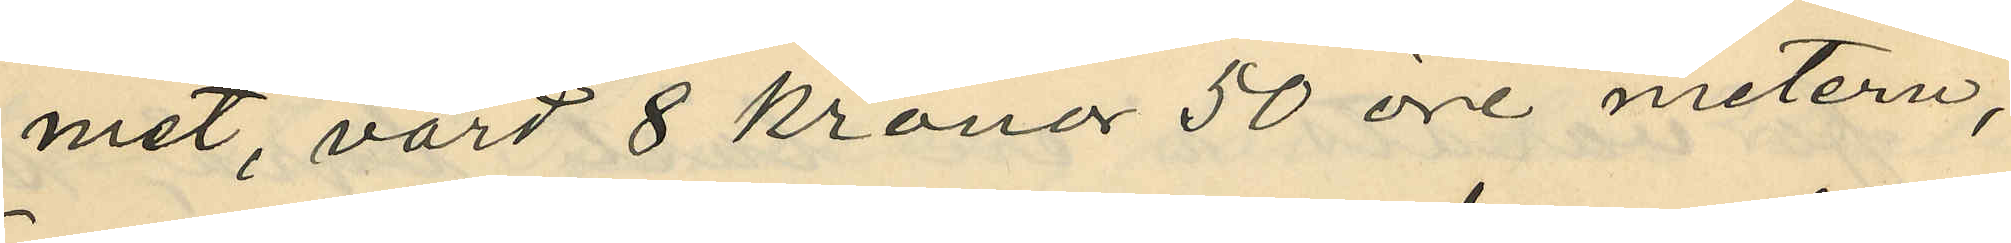met, värd 8 kronor 50 öre metern,
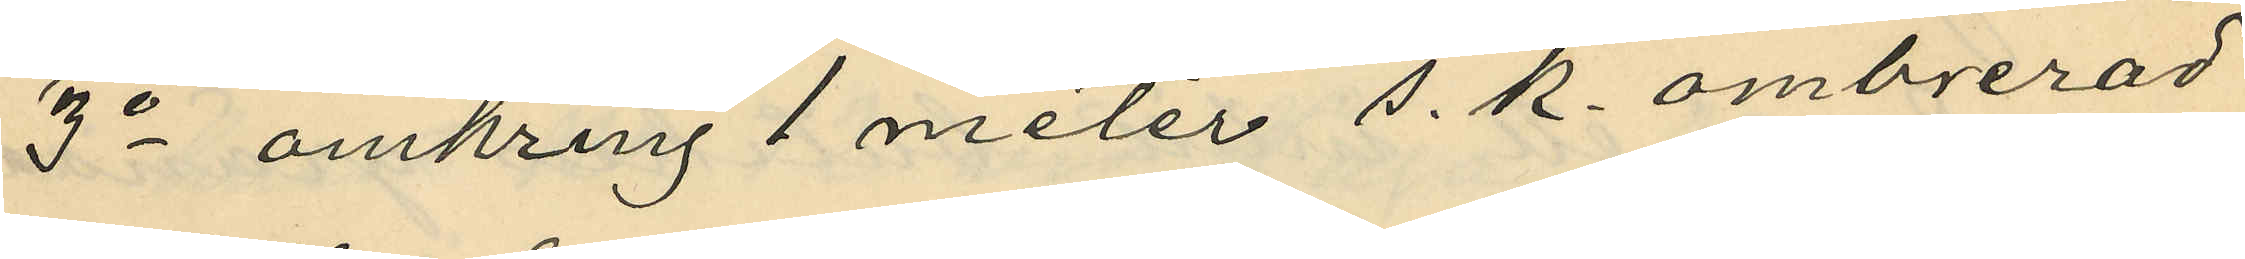3o omkring 1 meter s. k. ombrerad
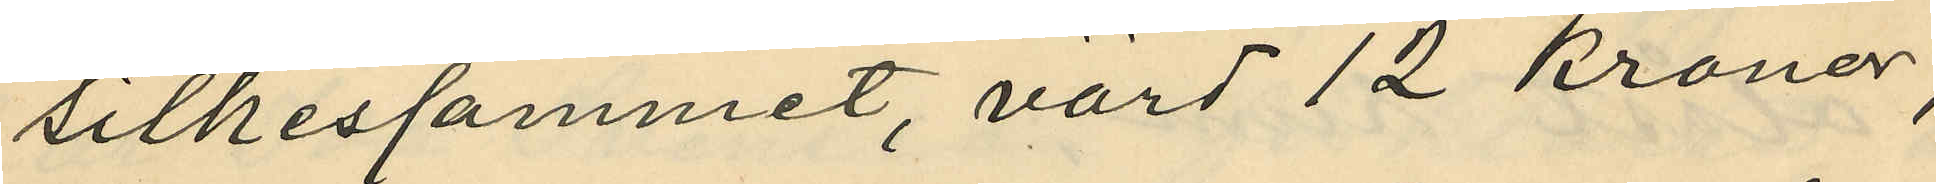silkessammet, värd 12 kronor,
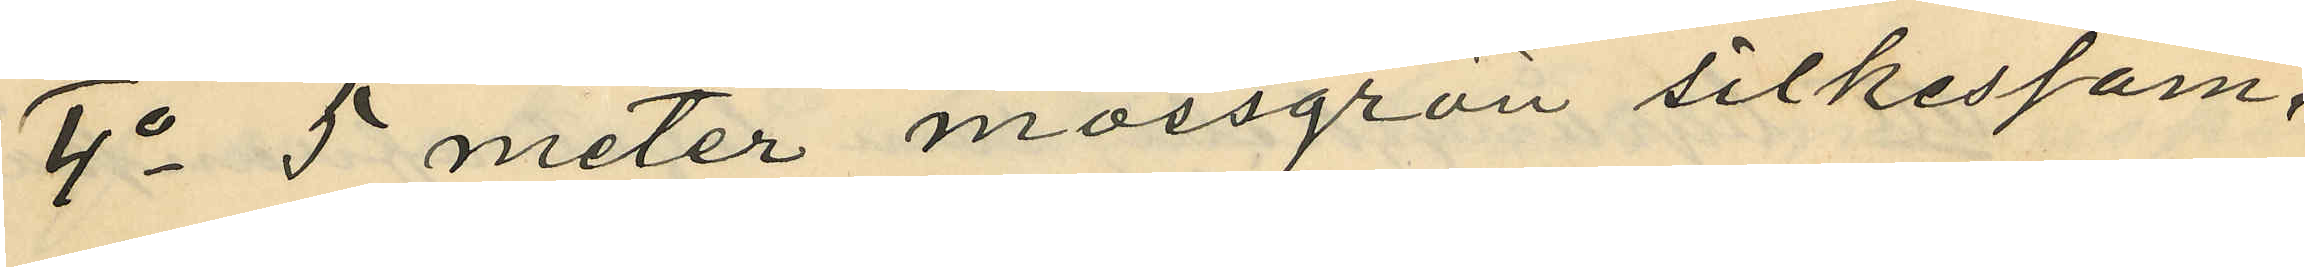4o 5 meter mossgrön silkessam¬
